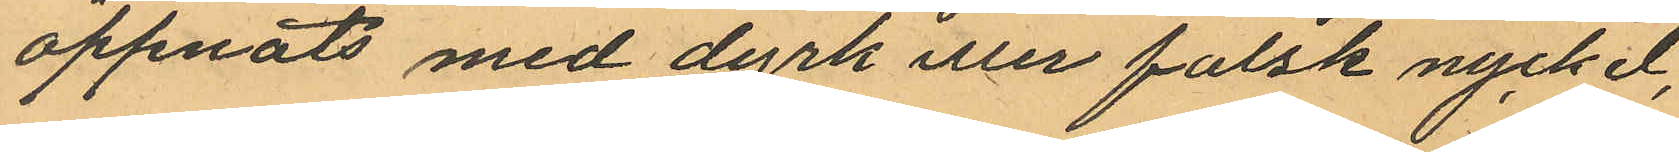öppnats med dyrk eller falsk nyckel,
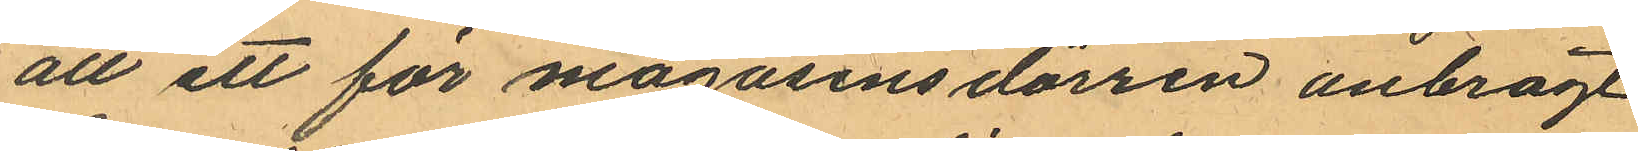att ett för magasinsdörren anbragt
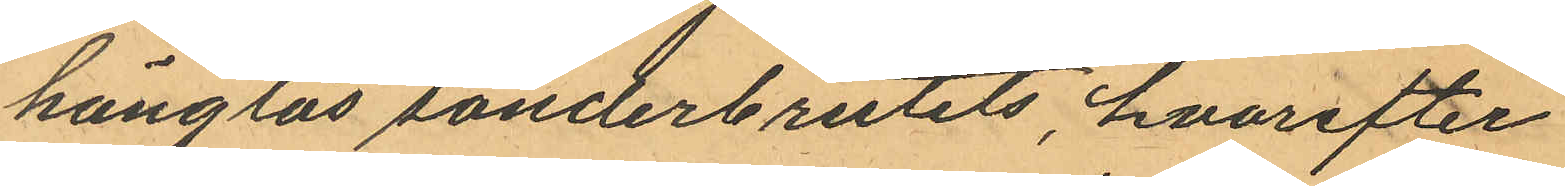hänglås sönderbrutits, hvarefter
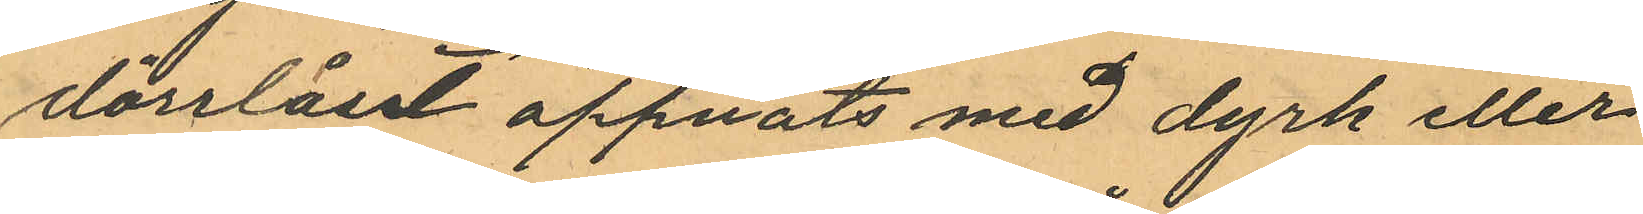dörrlåset öppnats med dyrk eller
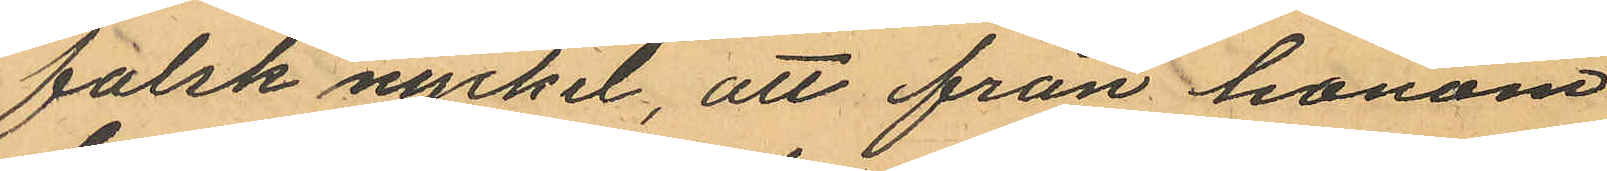falsk nyckel, att från honom
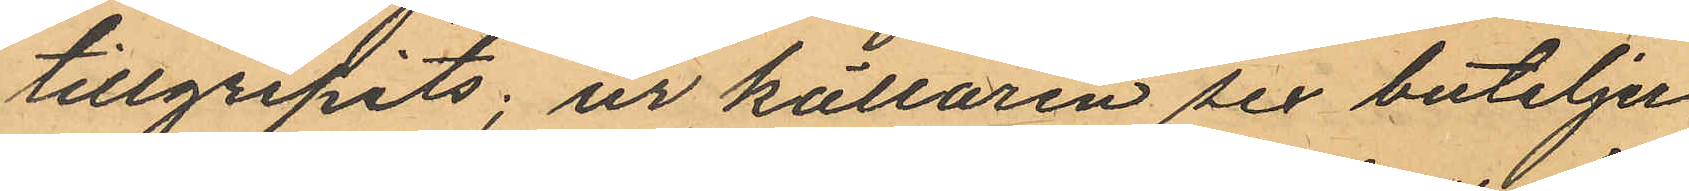tillgripits; ur källaren sex buteljer
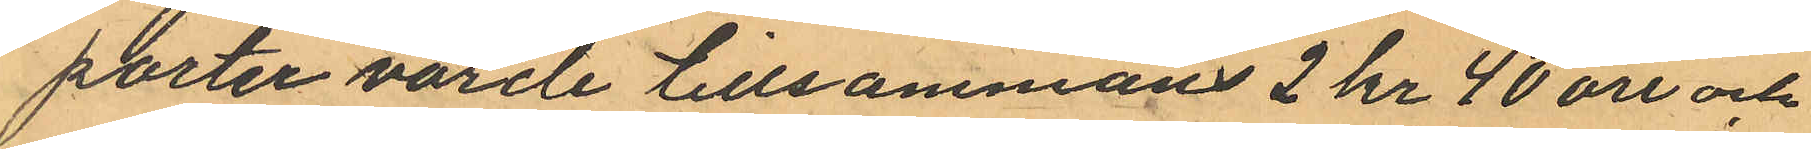porter värde tillsammans 2 kr 40 öre och
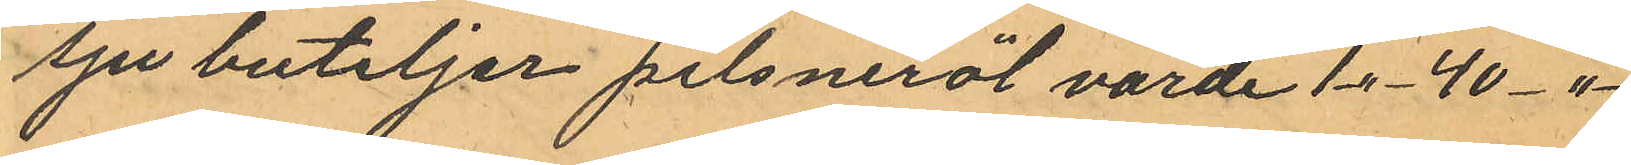sju buteljer pilsneröl värde 1 -"- 40 -"-
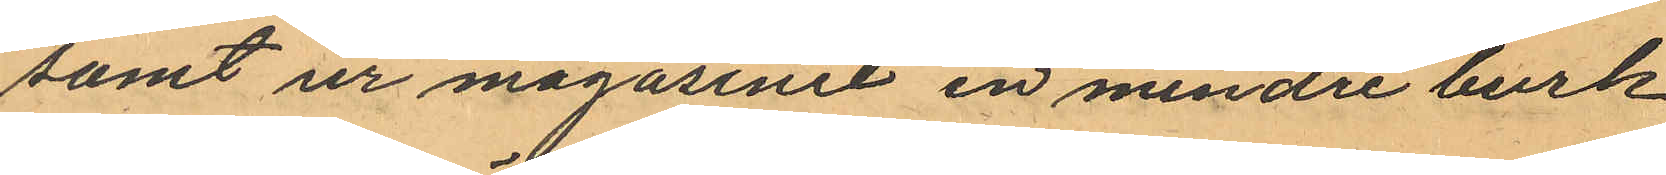samt ur magasinet en mindre burk
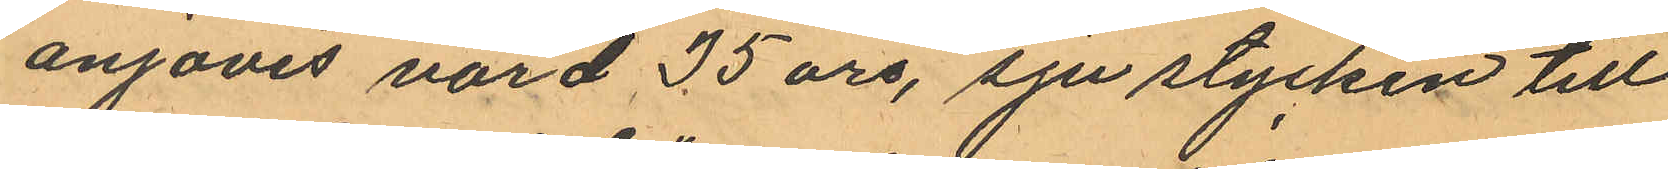anjovis värd 35 öre, sju stycken till
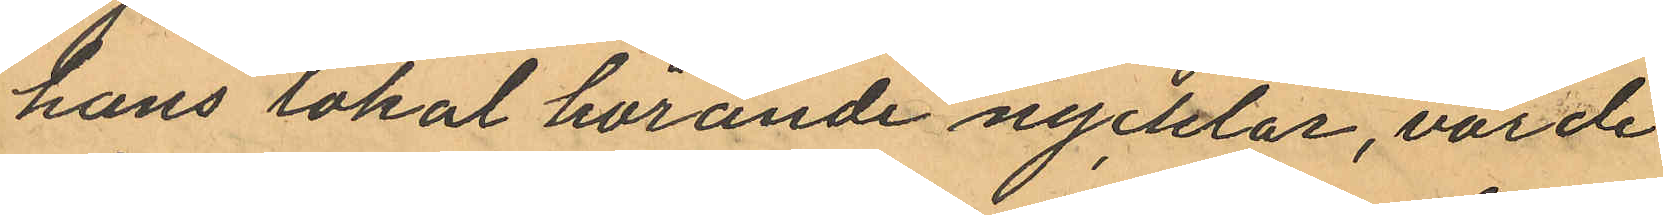hans lokal hörande nycklar, värde
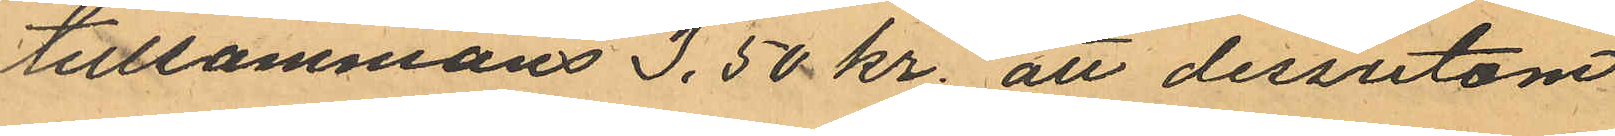tillsammans 3,50 kr. att dessutom
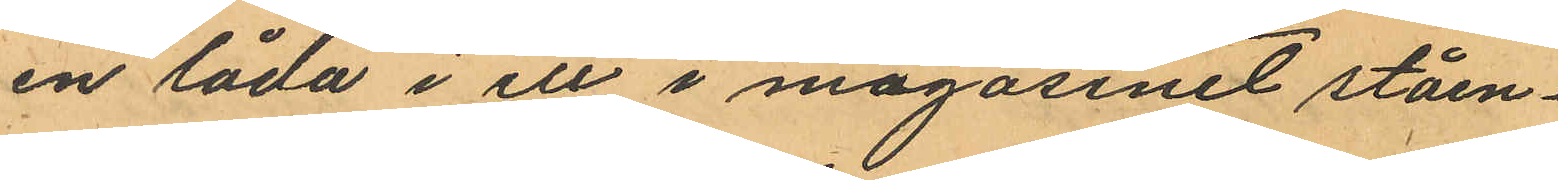en låda i ett i magasinet ståen¬
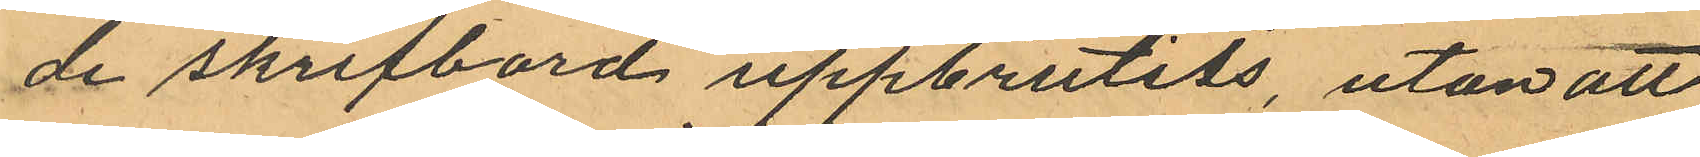de skrifbord uppbrutits, utan att
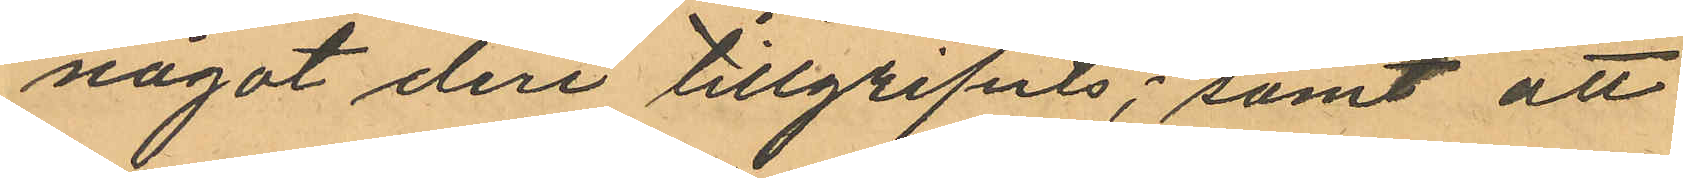något deri tillgripits; samt att
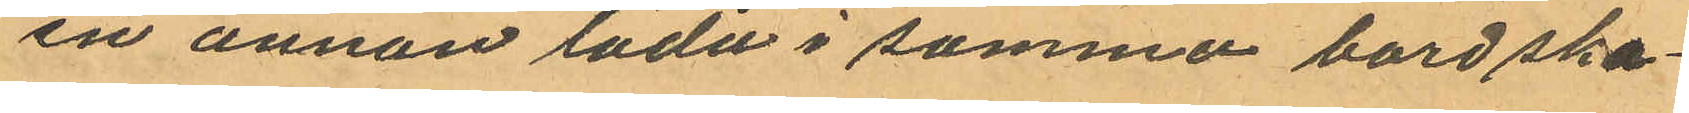en annan låda i samma bord ska¬
